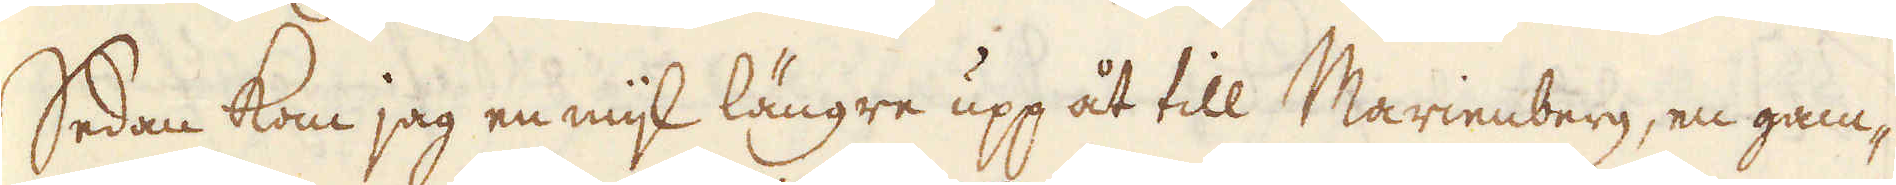Sedan kom jag en mil längre upp åt till Marienberg, en gam-
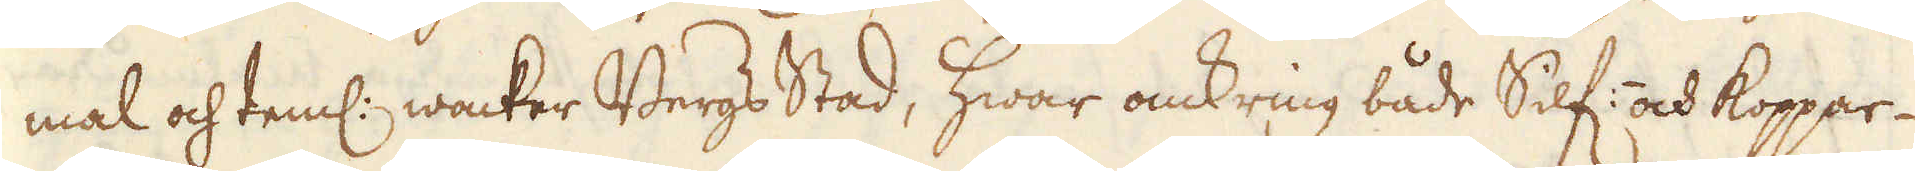mal och teml: wacker Bergs Stad, hwar omkring både Silf:- och Koppar-
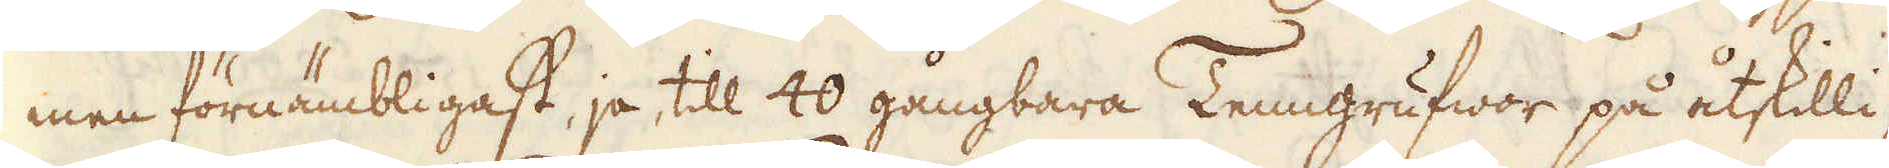men förnämbligast, ja, till 40 gångbara Tenngrufwor på åtskilli-
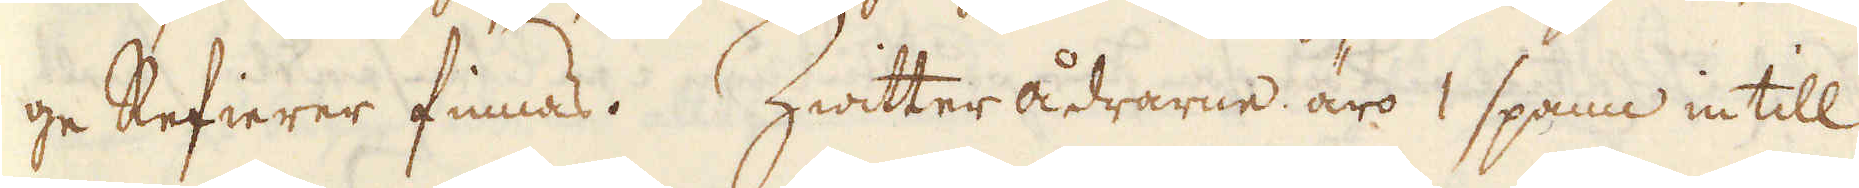ge Refierer finnas. Zwitter ådrarne äro 1 spann in till
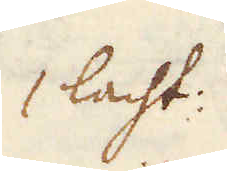1 lacht:
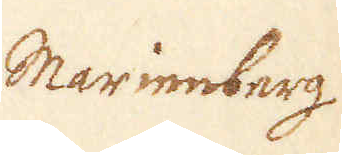Marienberg
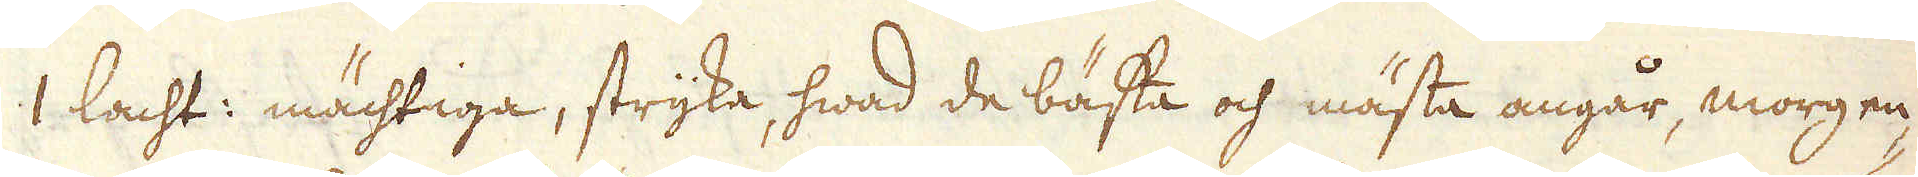1 lacht: mächtiga, stryka, hwad de bästa och mästa angår, morgen-
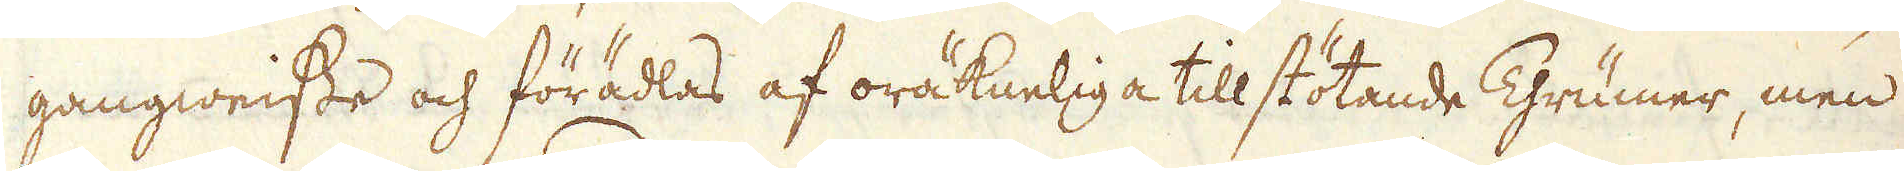gangweisse och förädlas af oräkneliga till stötande Thrümer, men
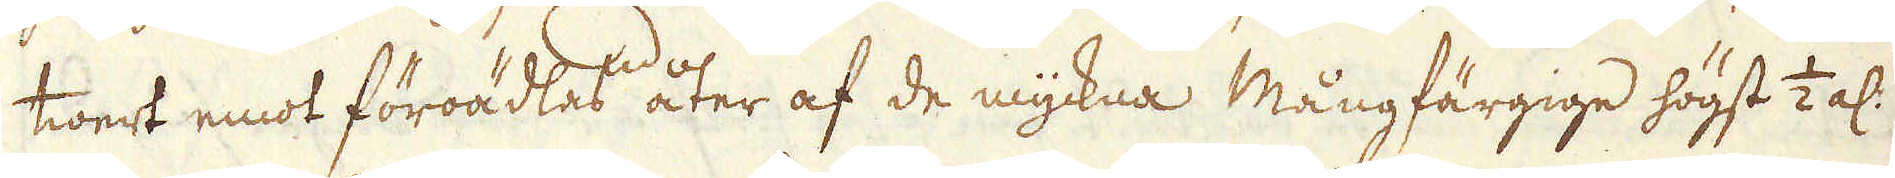twert emot föroädlas åter af de myckna Mångfärgige högst 1/2 al:
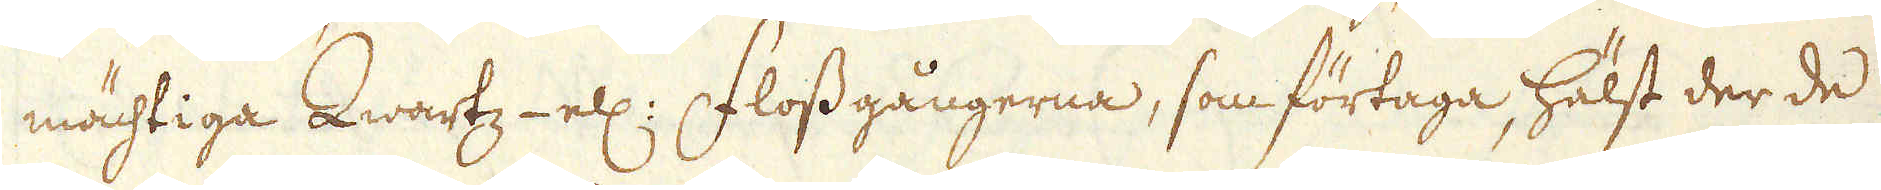mächtiga Qwartz- ell: Flossgångerna, som förtaga, hälst der de
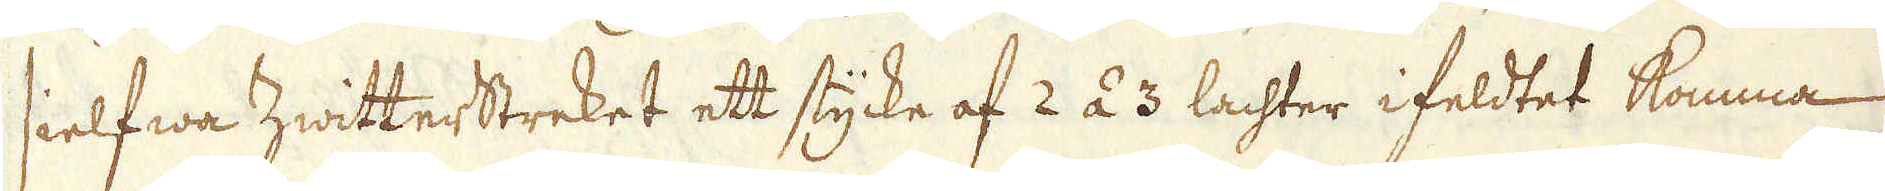sielfwa Zwitterstreket ett stycke af 2 á 3 lachter i feldtet komma
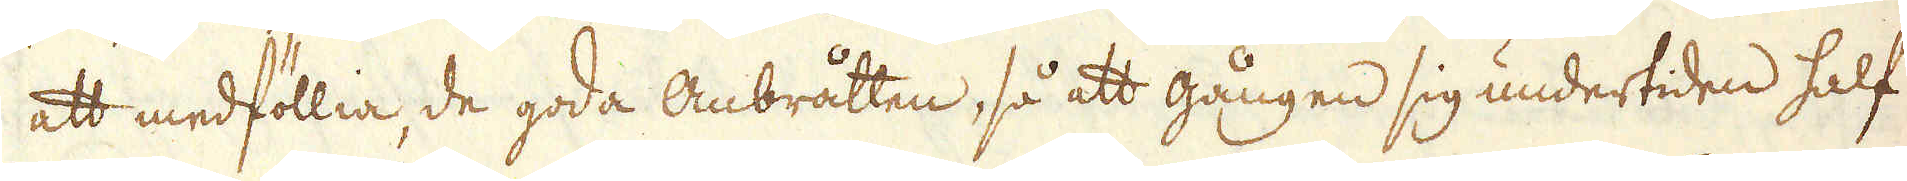att medföllia, de goda Anbråtten, så att gången sig undertiden half
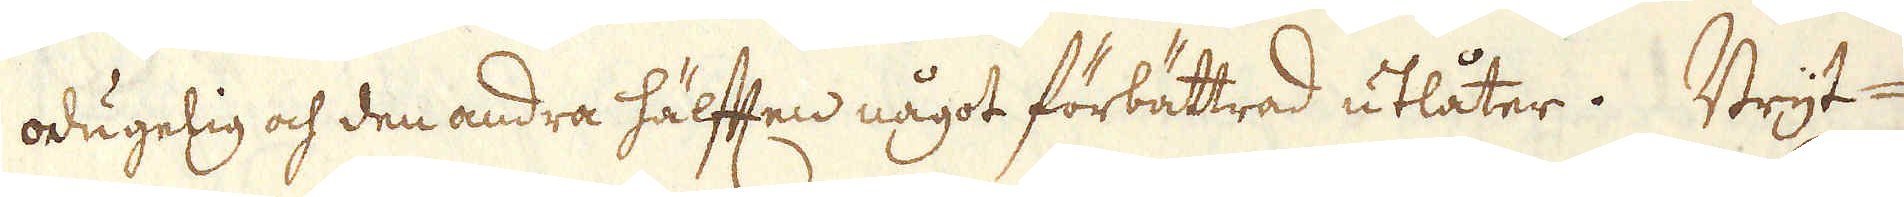odugelig och den andra hälften något förbättrad utlåter. Bryt-
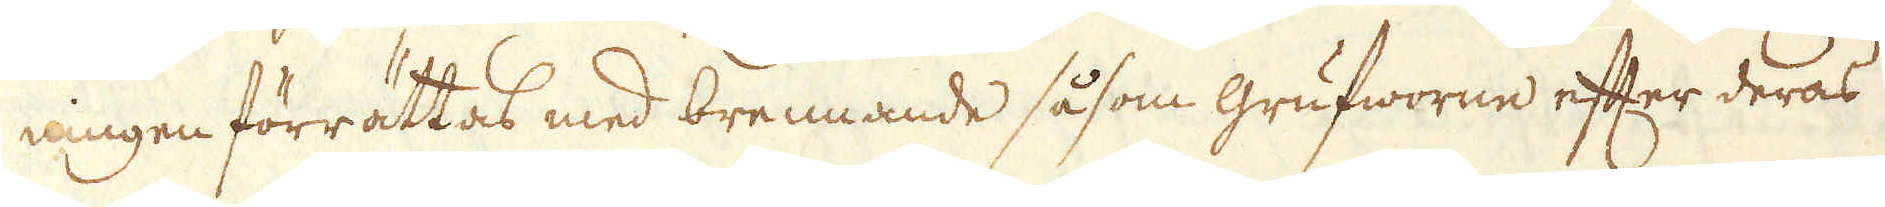ningen förrättas med brennande såsom grufworne efter deras
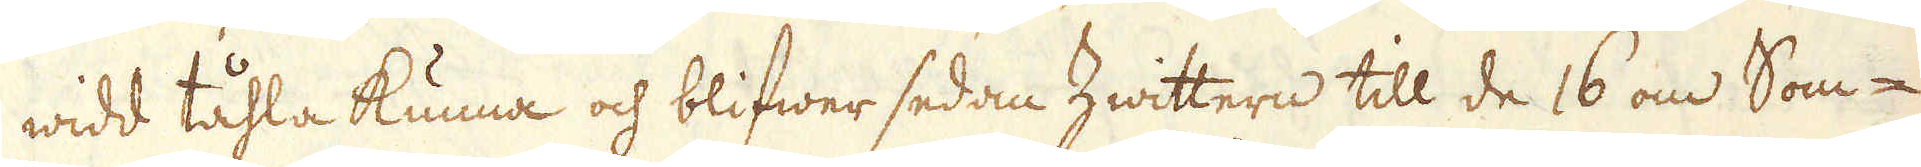widd tåhla kunna och blifwer sedan Zwittern till de 16 om Som-
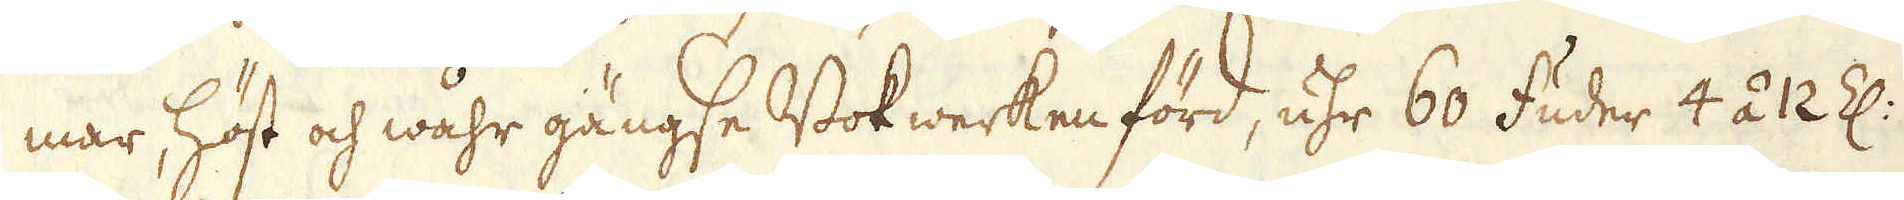mar, höst och wåhr gängse Bokwerken förd, uhr 60 fuder 4 á 12 Z:
